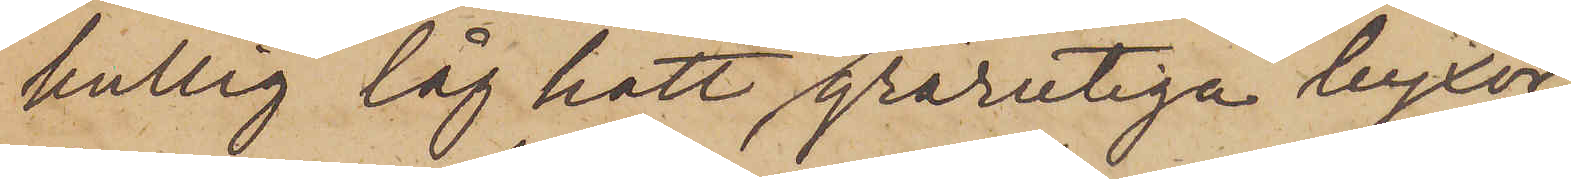kullig låg hatt pch grårutiga byxor
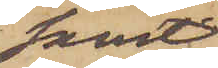samt
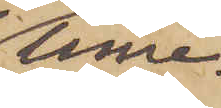inne¬
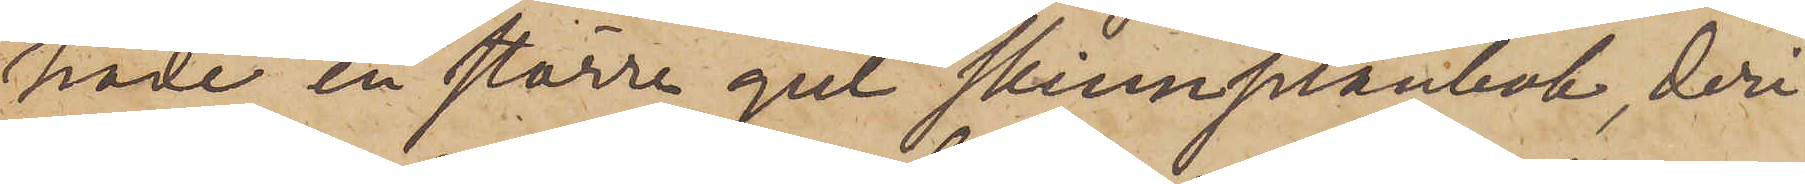hade en större gul skinnplånbok, deri
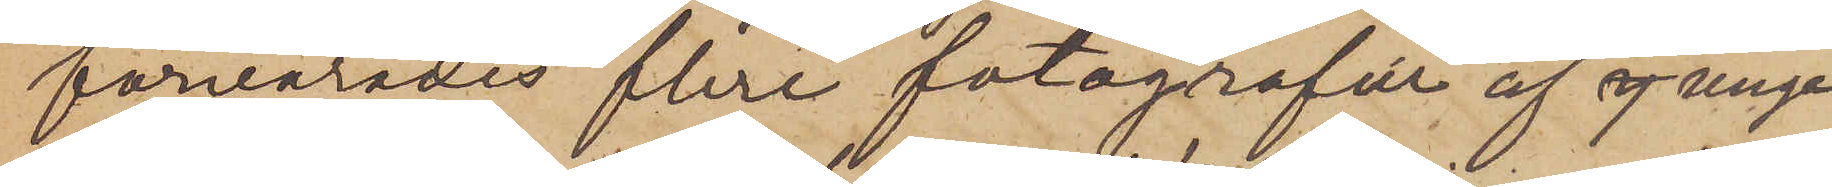förvarades flera fotografier af sj unga
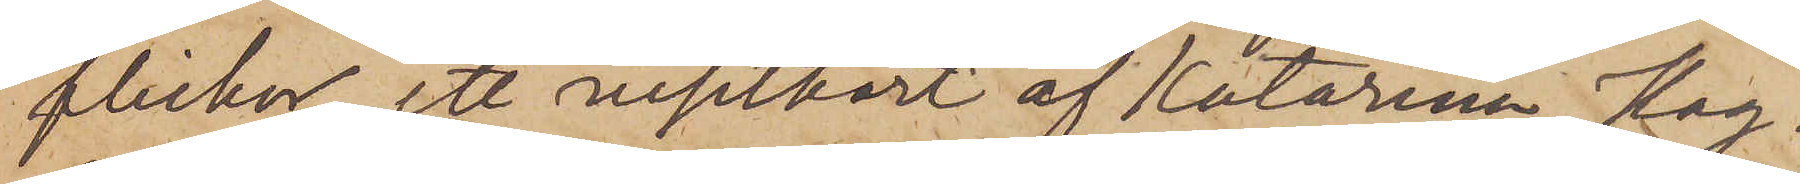flickor, ett visitkort af Katarina Hag¬
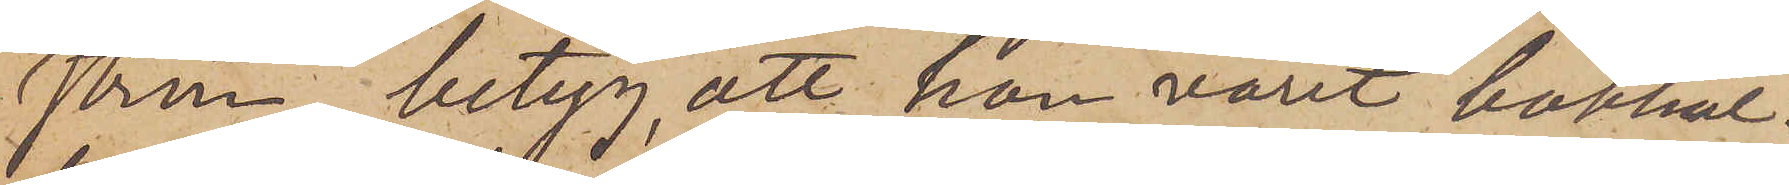ström, betyg, att han varit bokhål¬
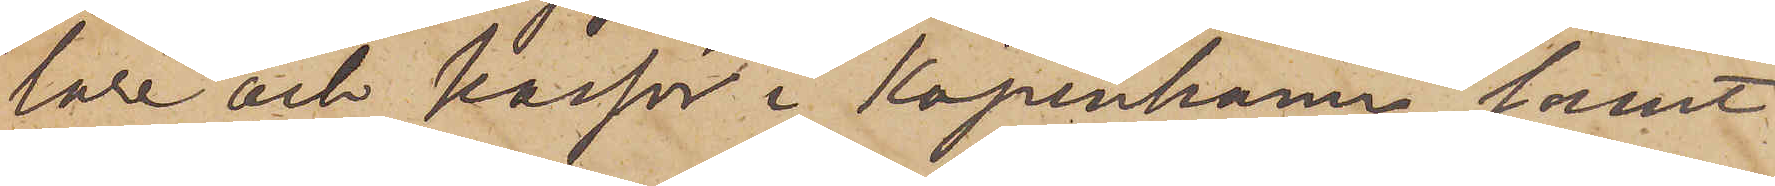lare och kassör i Köpenhamn samt
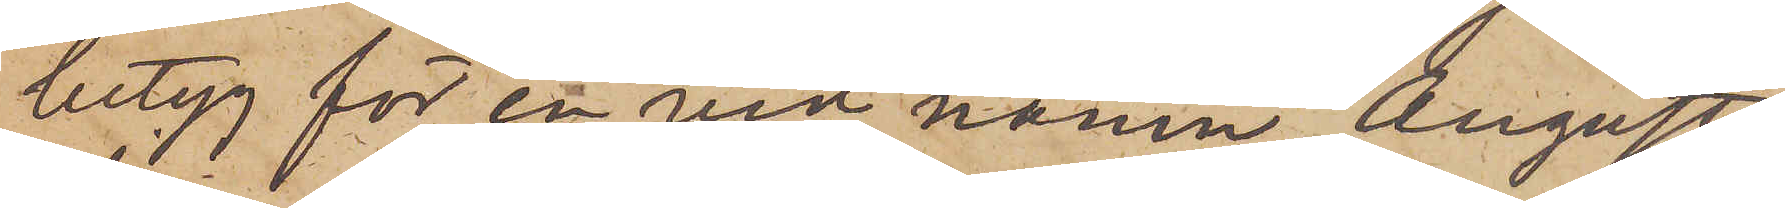betyg för en vid namn August
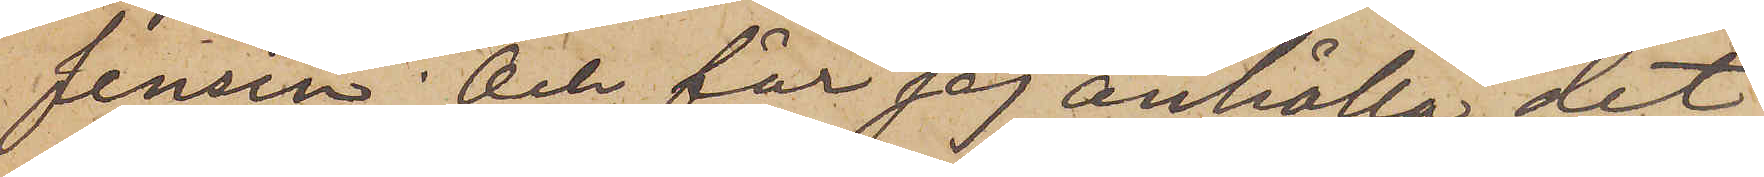Jensen; Och får jag anhålla det
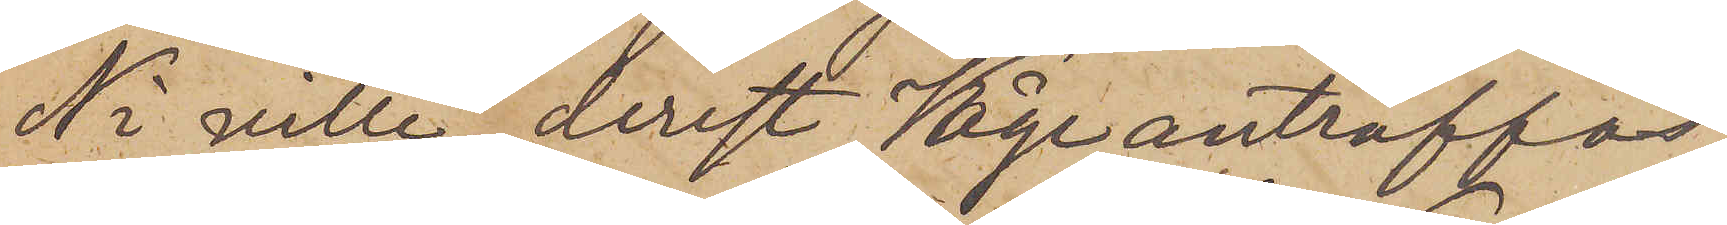Ni ville, derest Våge  anträffas
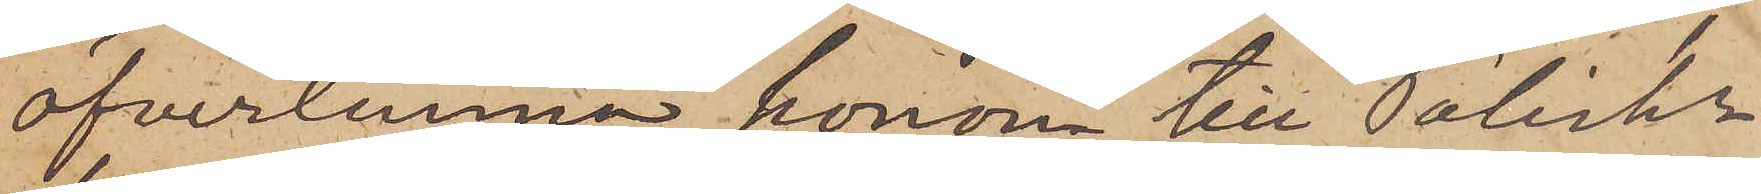öfverlemna honom till Poliskn
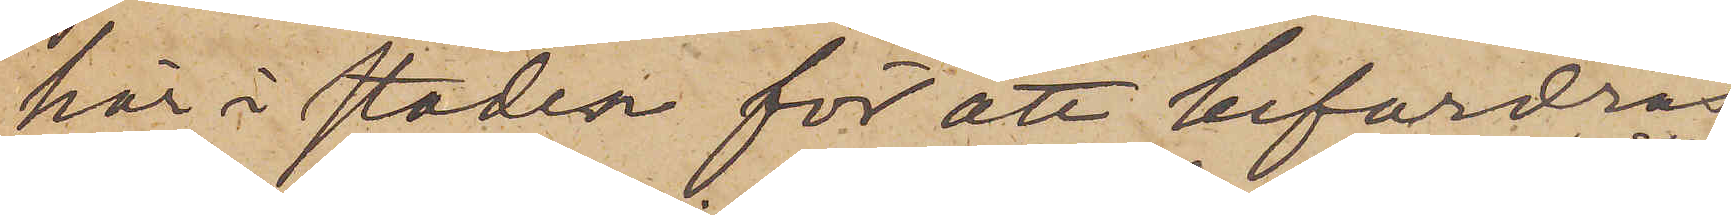här i staden för att befordras
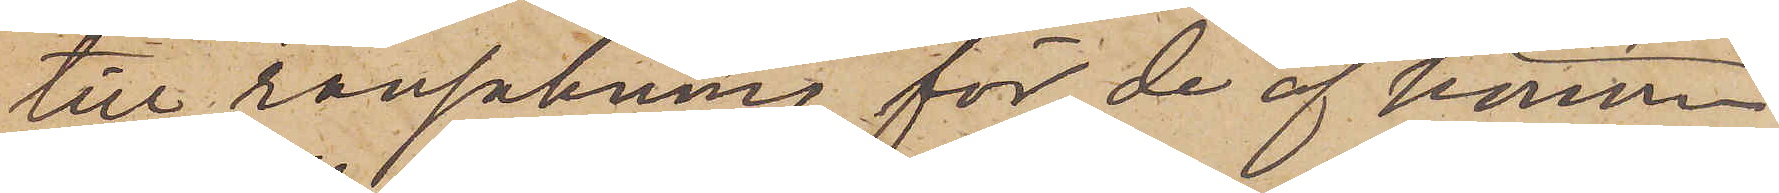till ransakning för de af honom
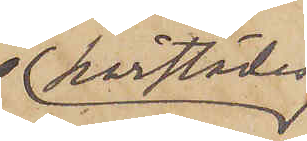härstädes
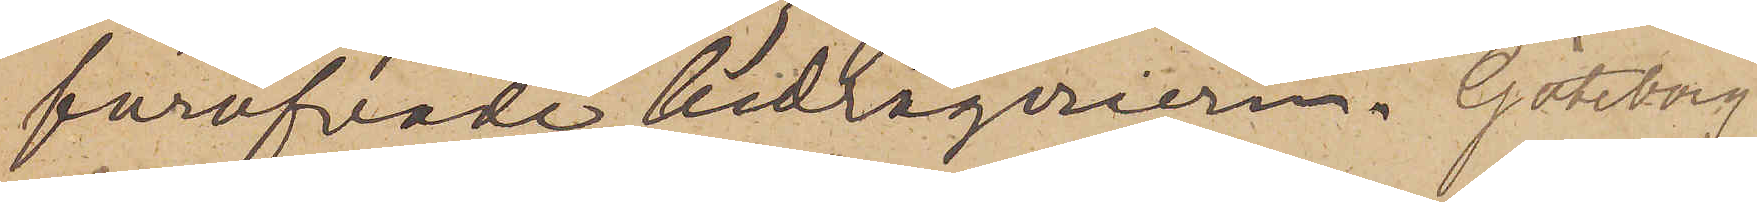föröfvade bedrägerierna. Göteborg
